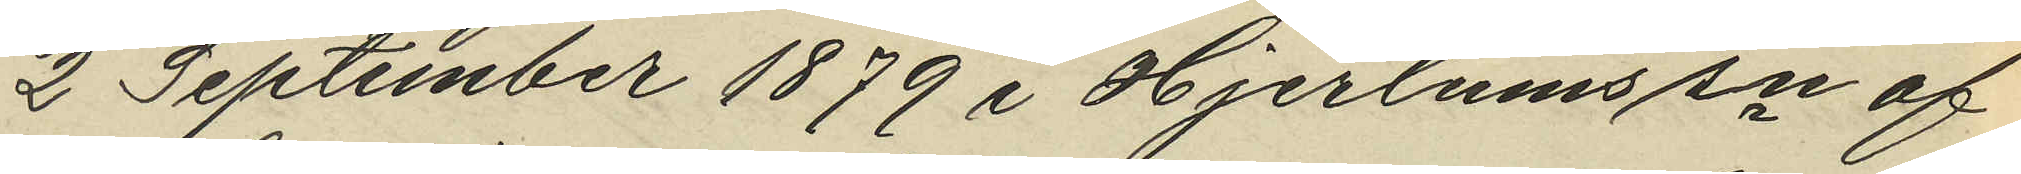2 September 1879 i Hjertums sn af
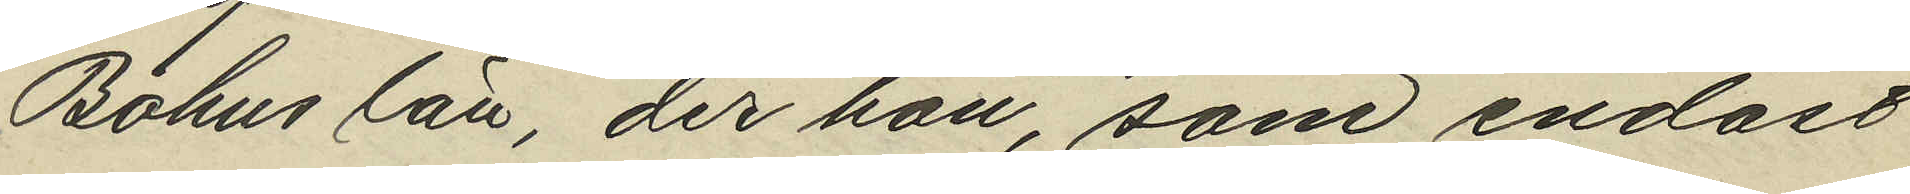Bohus län, der hon, som endast
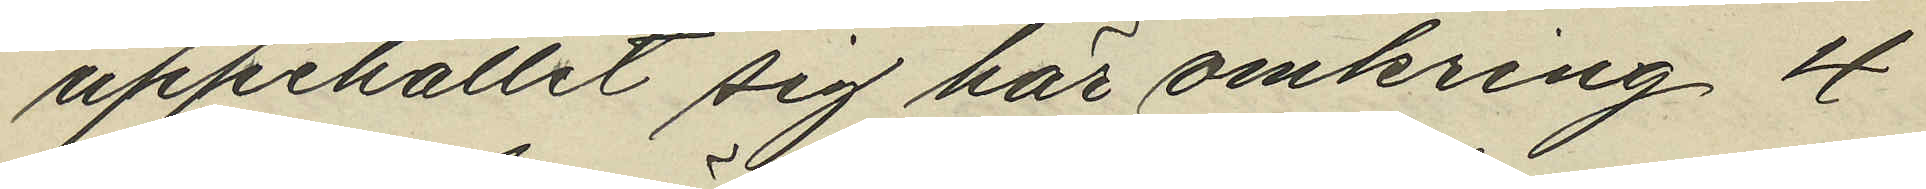uppehållit sig här omkring 4
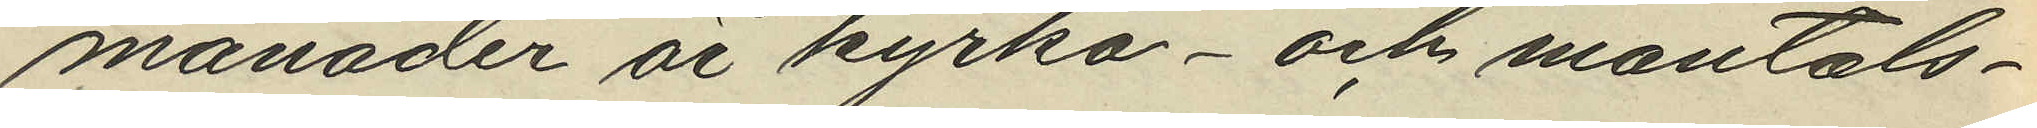månader är kyrko- och mantals¬
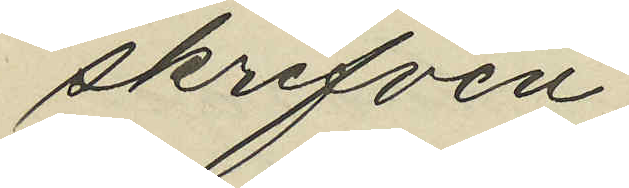skrifven.
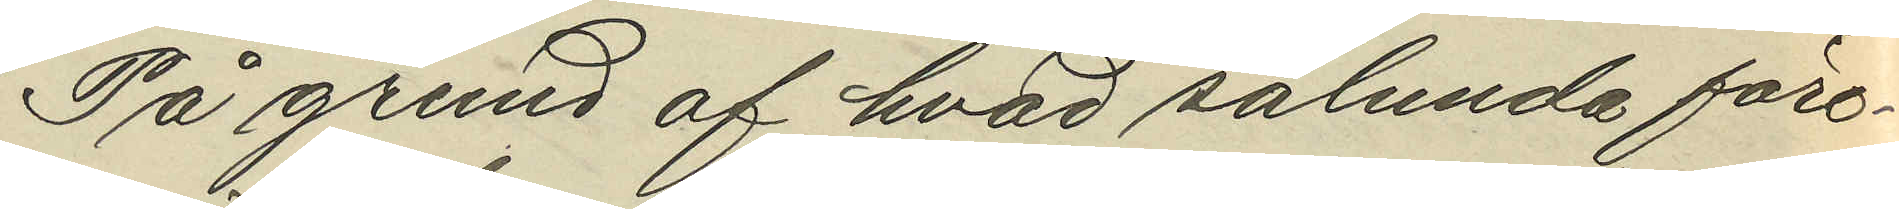På grund af hvad sålunda före¬
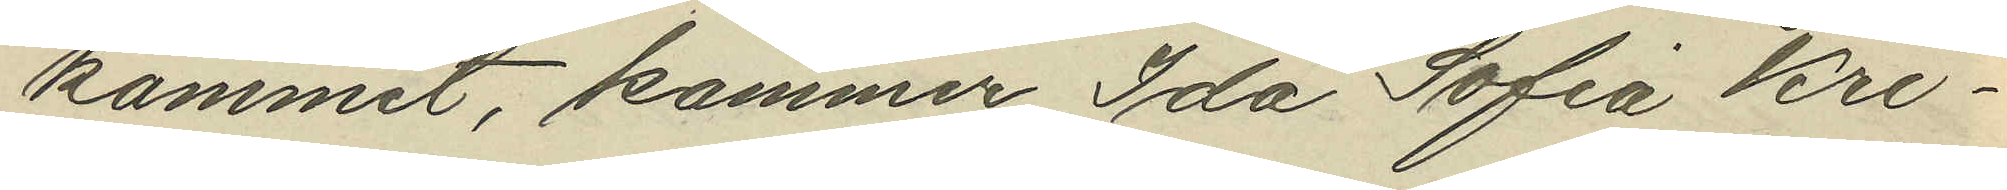kommit, kommer Ida Sofia Kri¬
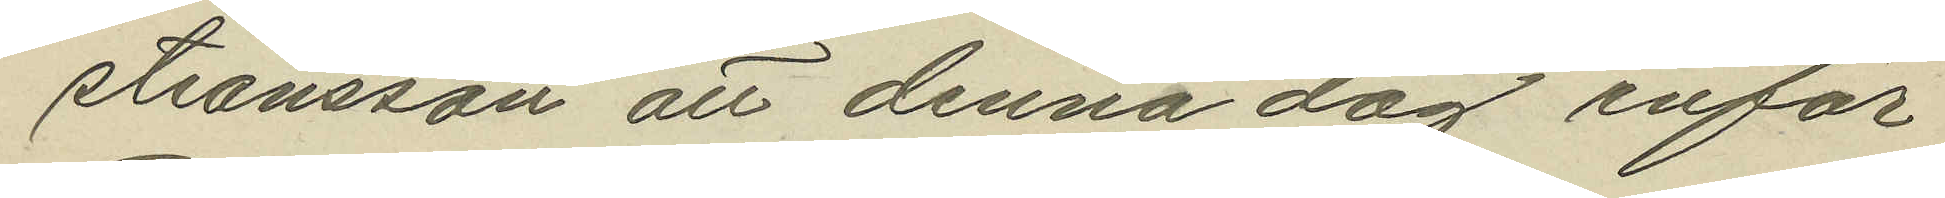tiansson att denna dag inför
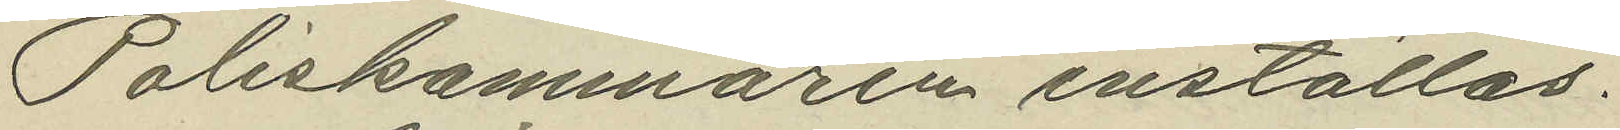Poliskammaren inställas.
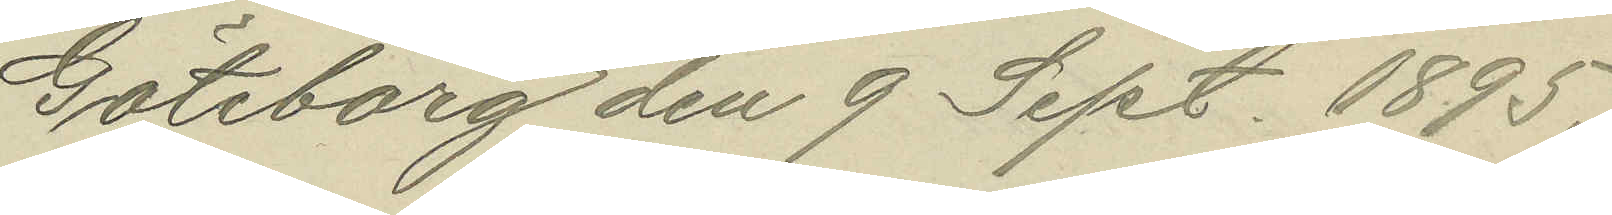Göteborg den 9 Sept. 1895.
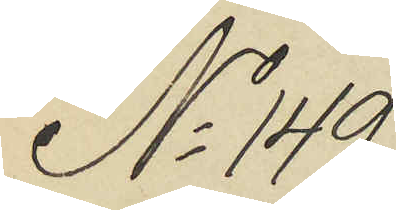No 149.
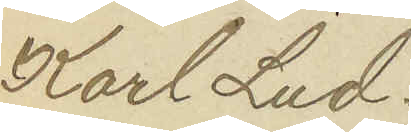Karl Lud¬
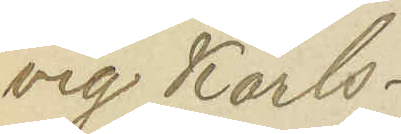vig Karls¬
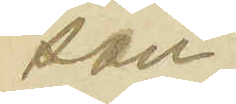son.
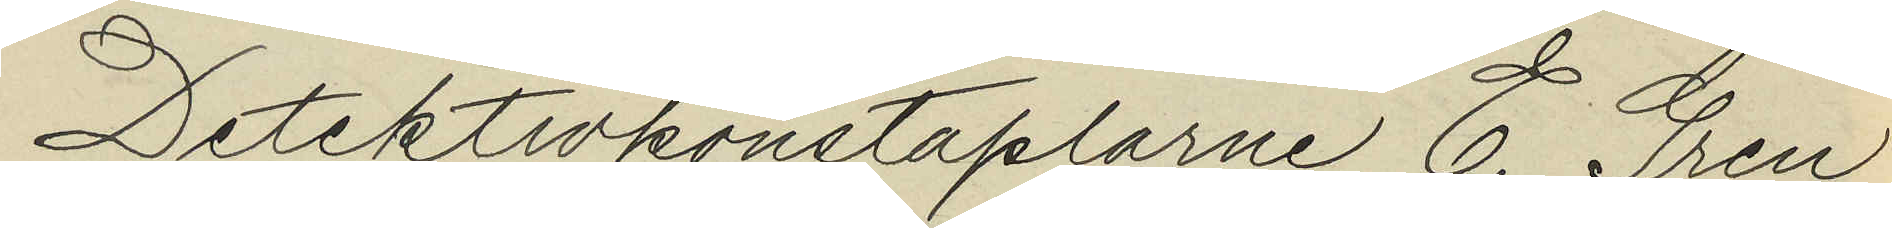Detektivkonstaplarne E. Gren
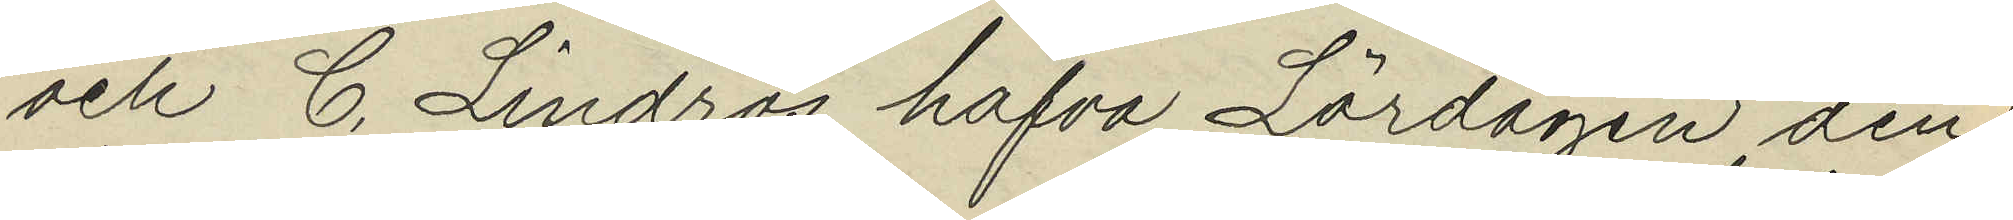och C. Lindros hafva Lördagen den
